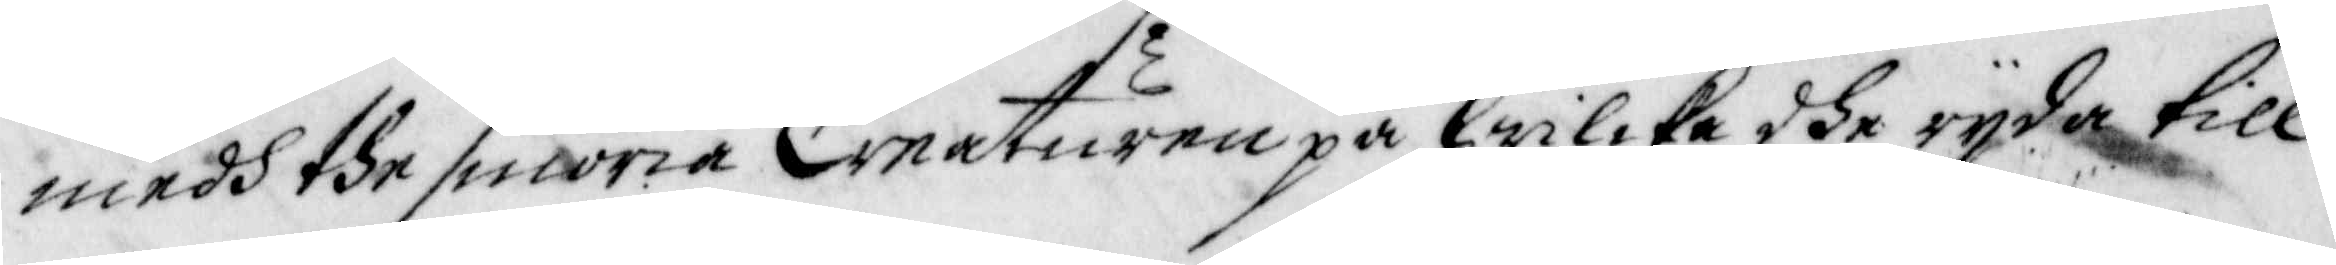medh dhe smöria Creaturen på hwilcka dhe rijda till
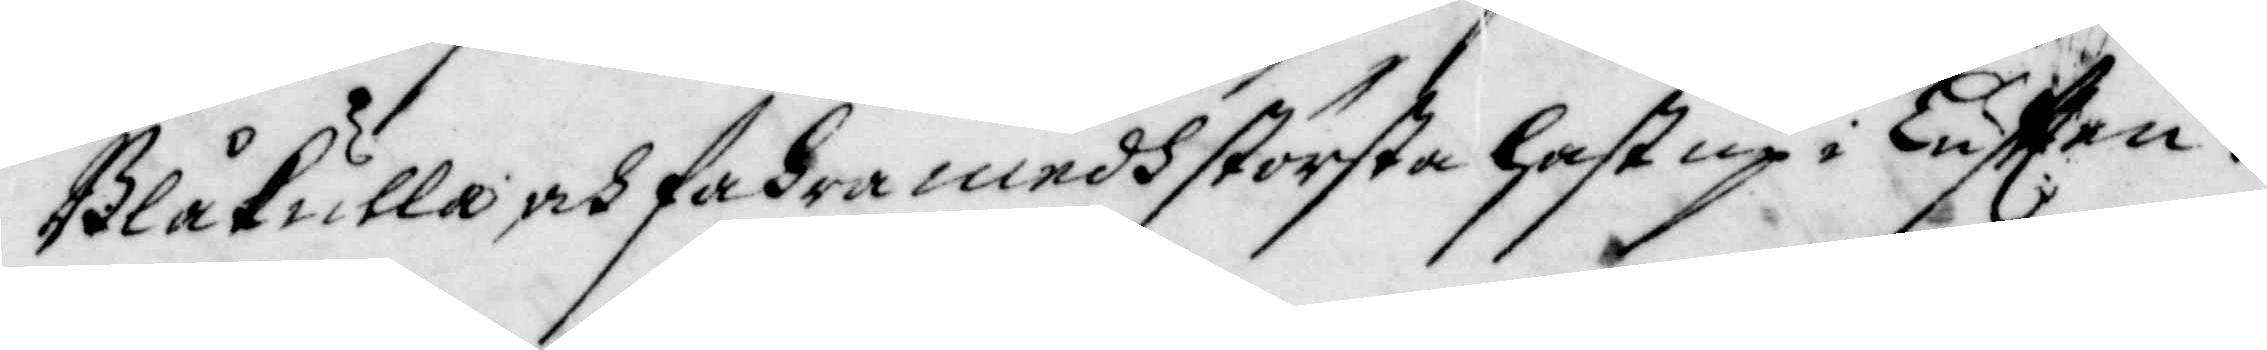Blåkulla, och fahra medh största hast up i Lufften.
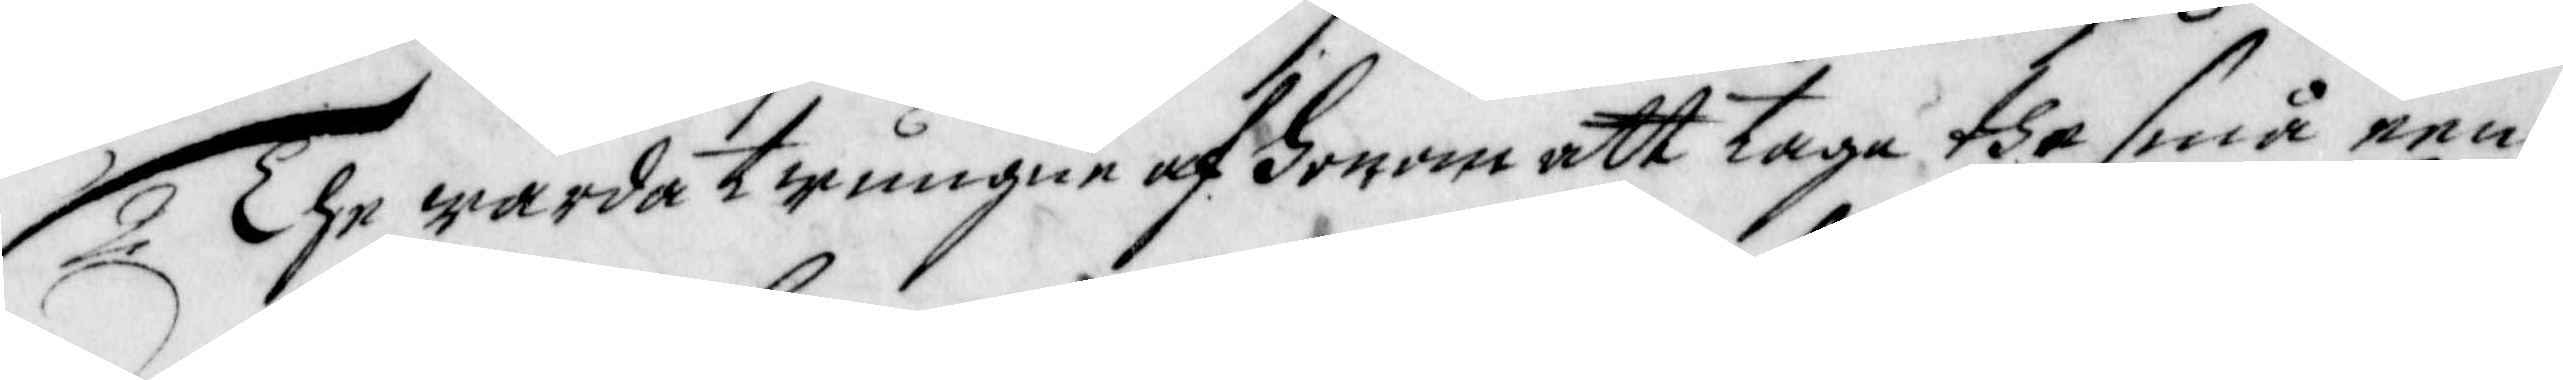2 The warda twungne af honom att taga the små een¬
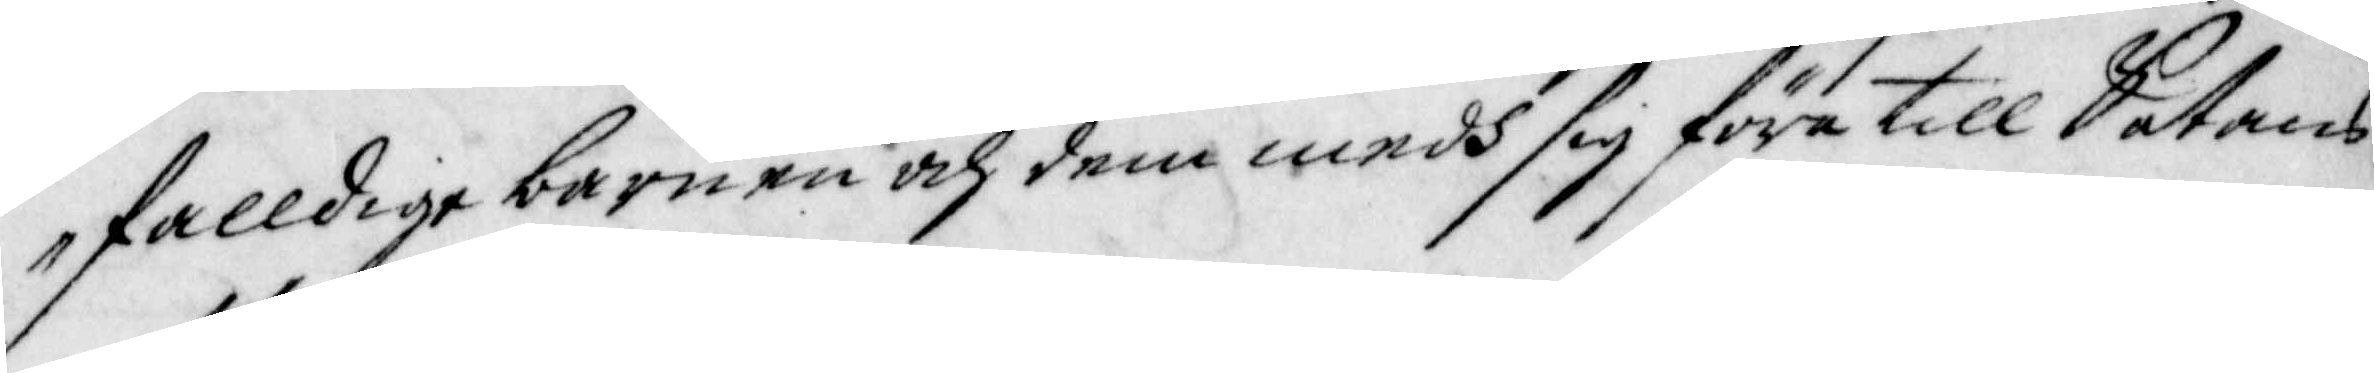falldige barnen och dem medh sig föra till Satans
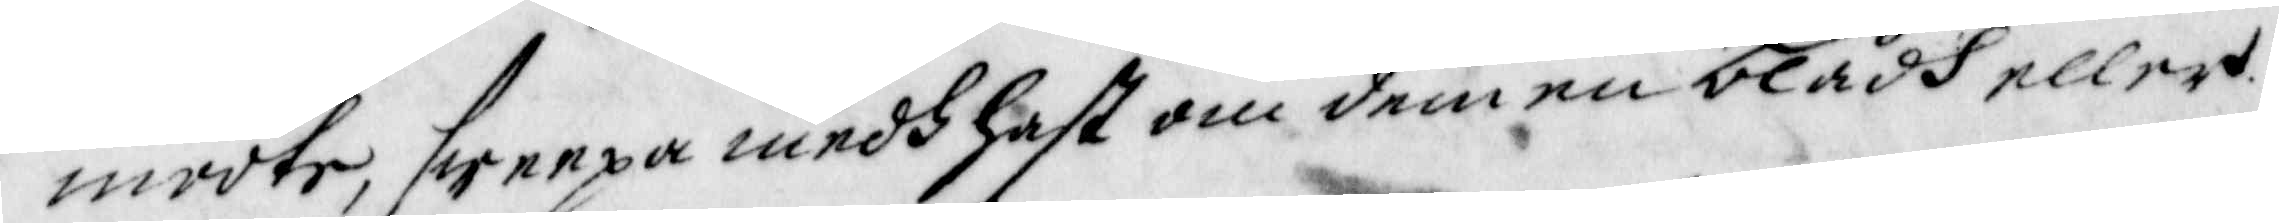mööte, sweepa medh hast om dem en blådh eller
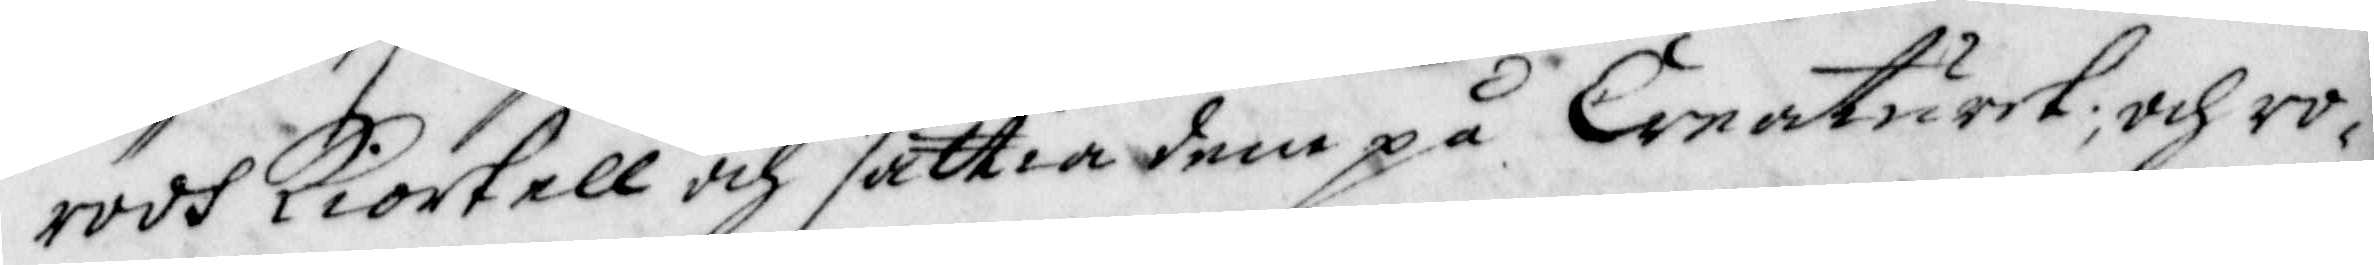rödh Kiortell och sättia dem på Creaturet; och ro¬
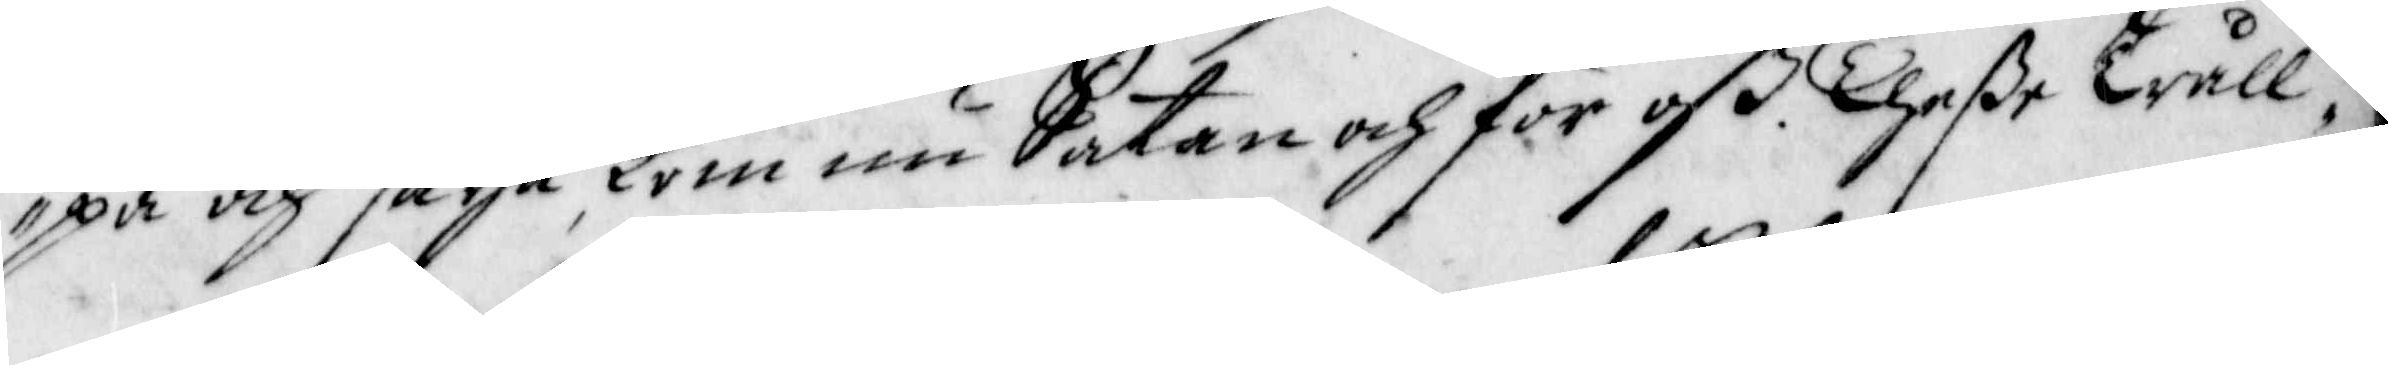pa och säija Kom nu Satan och för oß. Theße Trull¬
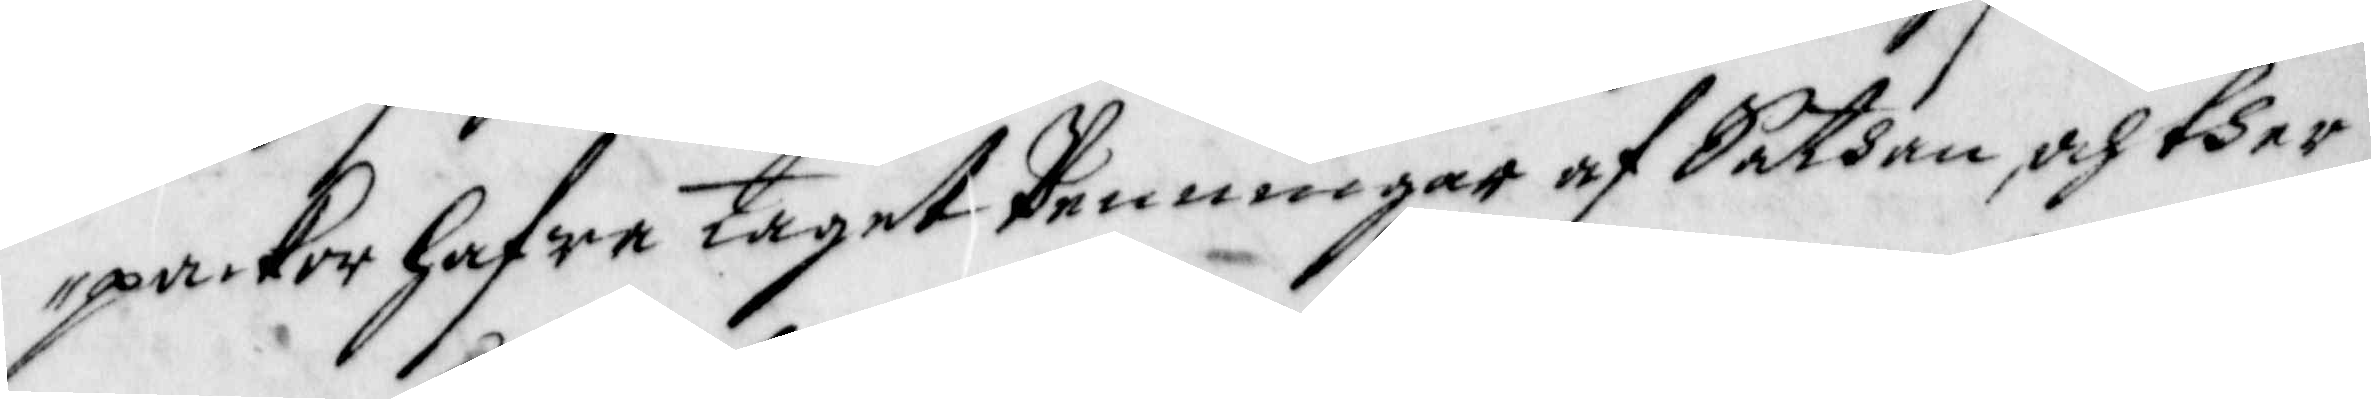packor hafwa taget penningar af Sathan, och ther
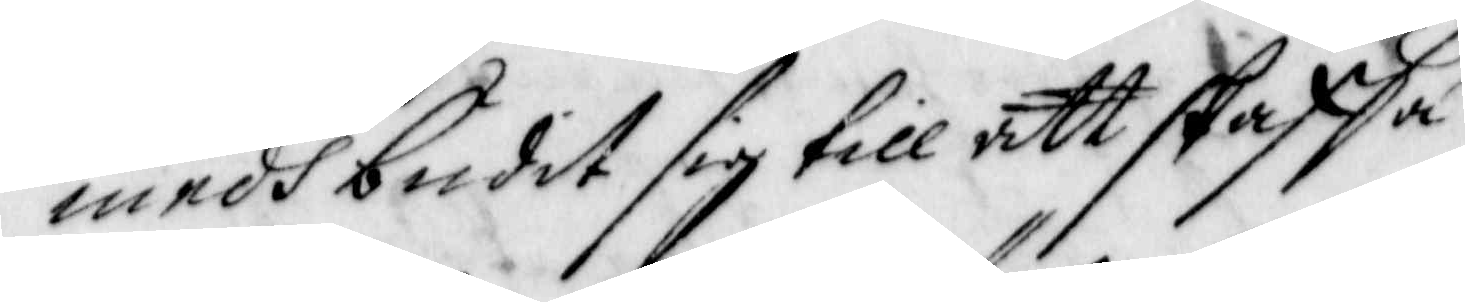medh budit sig till att skaffa
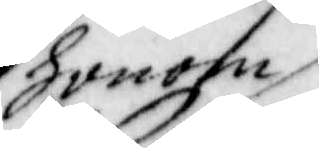honom
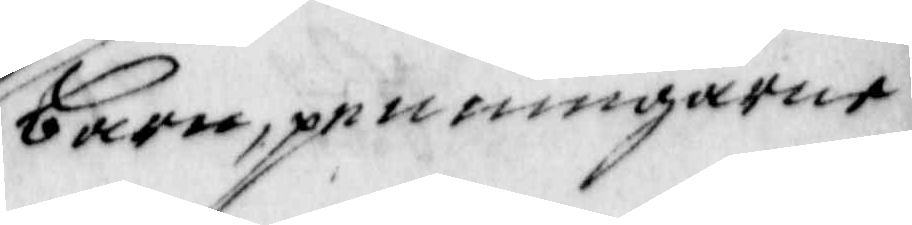barn, penningarne
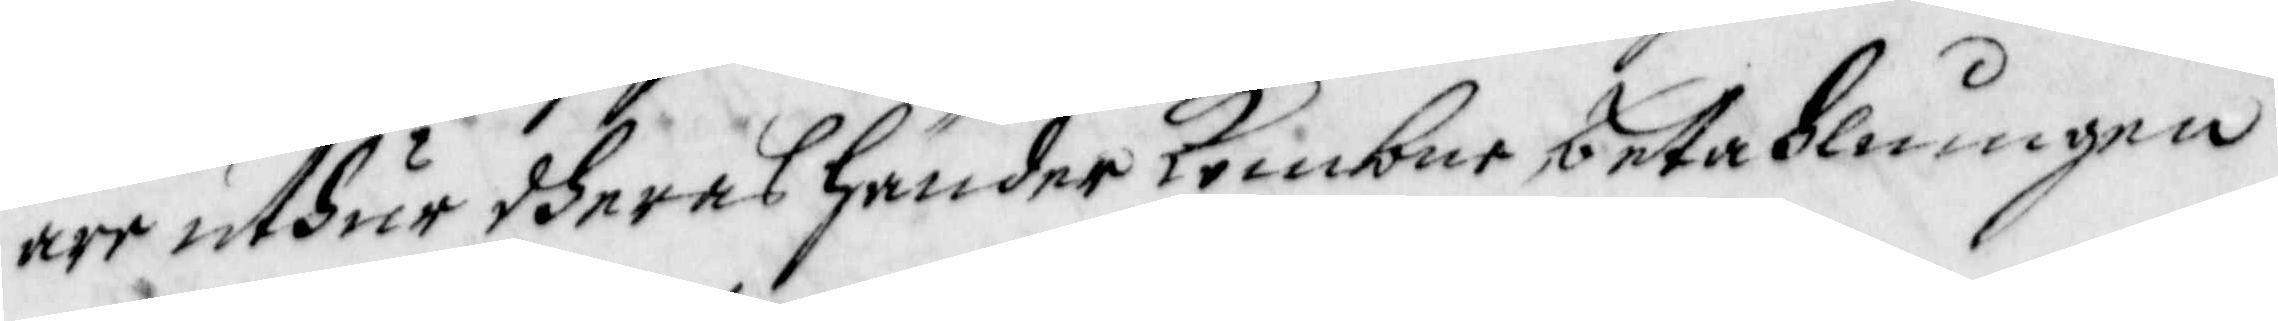äre uthur dheras händer Kombne, betahlningen
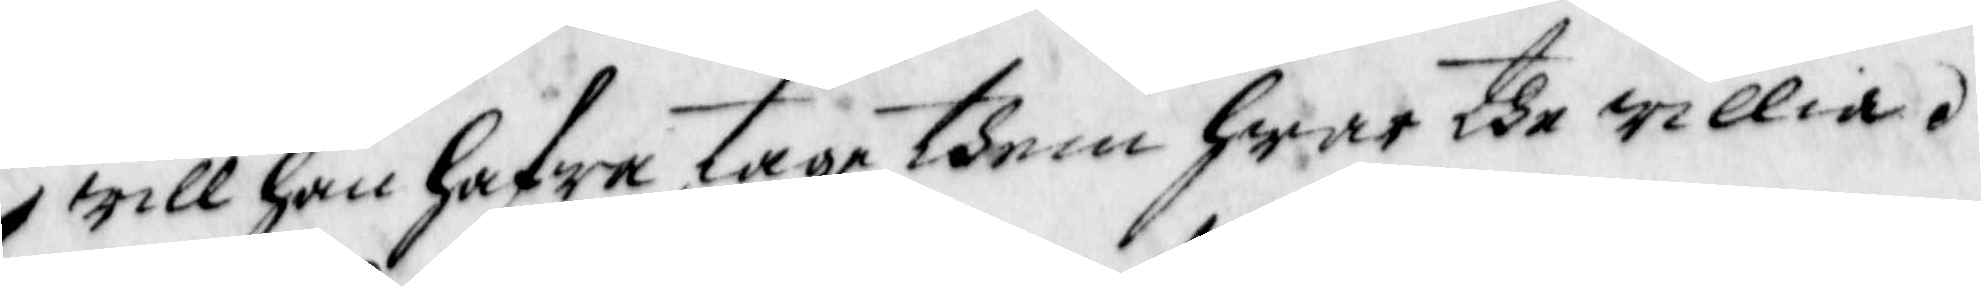will han hafwa, tage them hwar dhe willia.
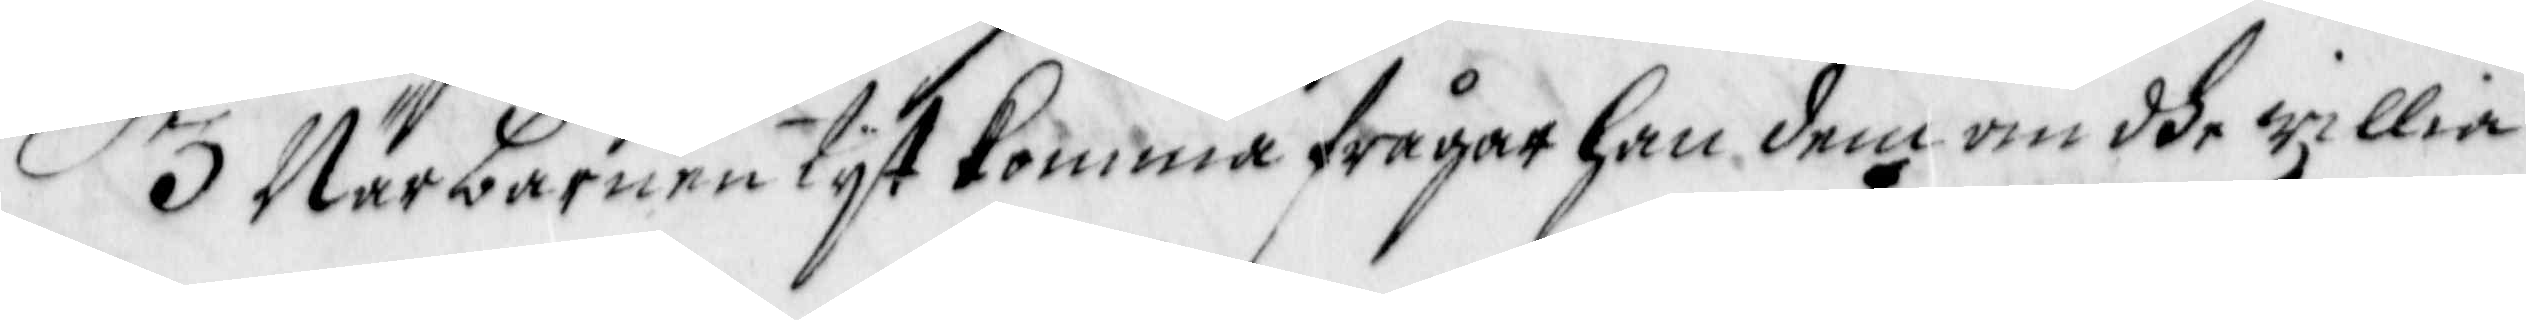3 När barnen tyst komma frågar han dem om dhe willia
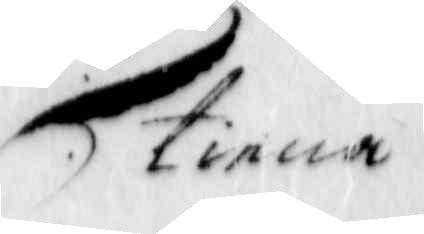tiena
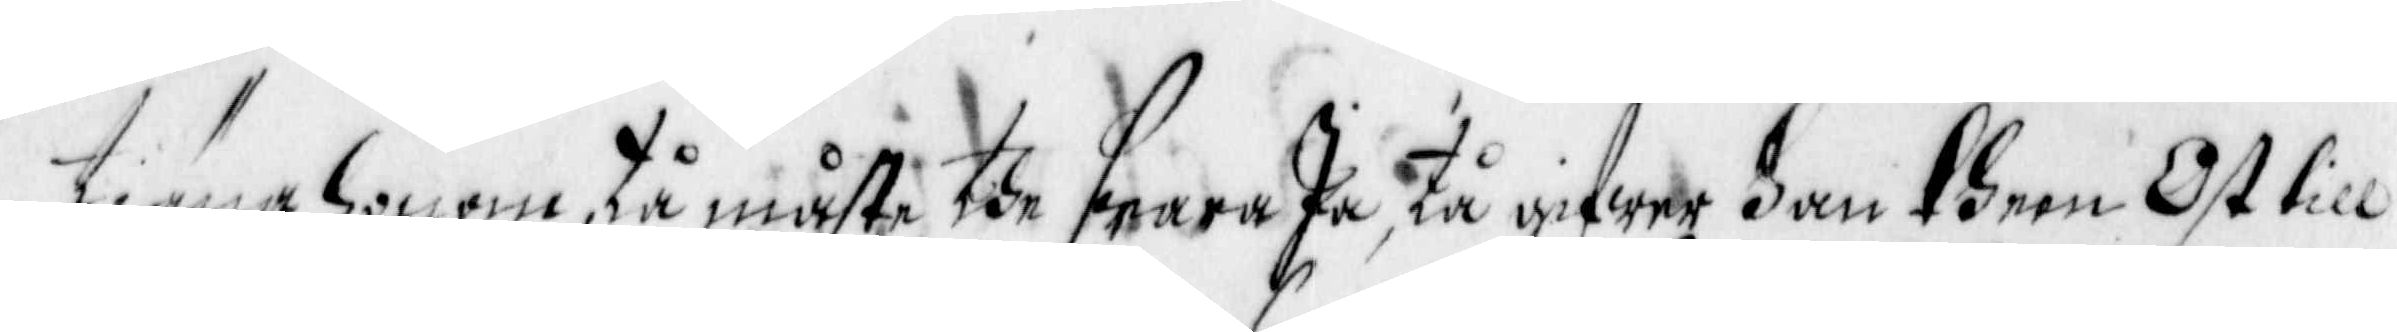Tiäna honom tå måste dhe swara Ja, tå gifwer han them Ost till
